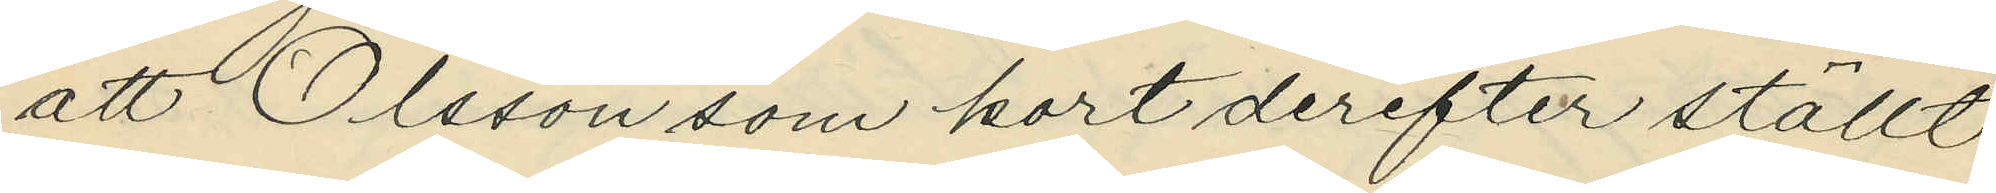att Olsson som kort derefter ställt
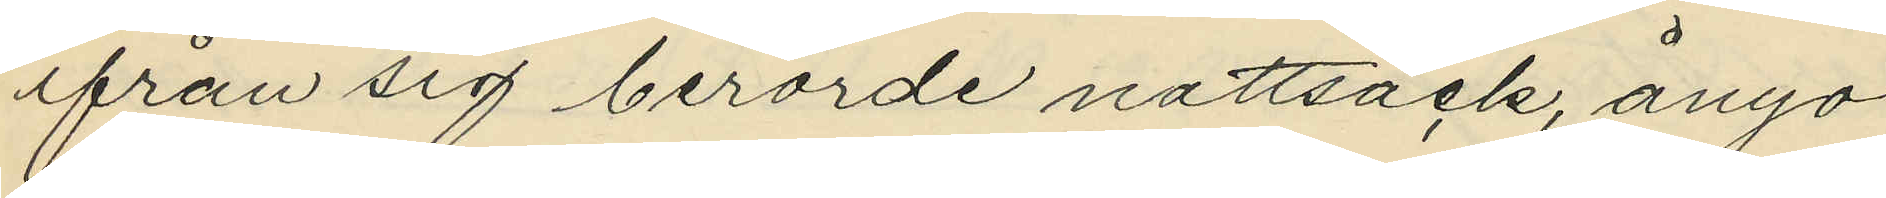ifrån sig berörde nattsäck, ånyo
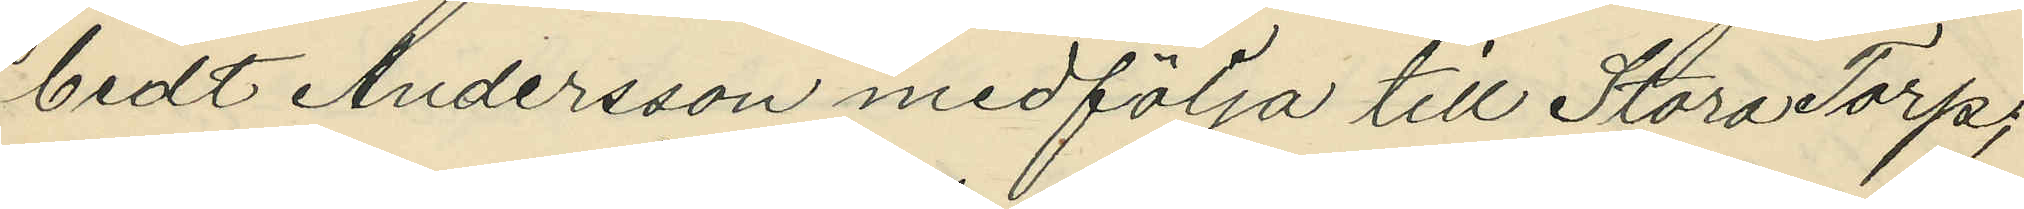bedt Andersson medfölja till Stora Torp;
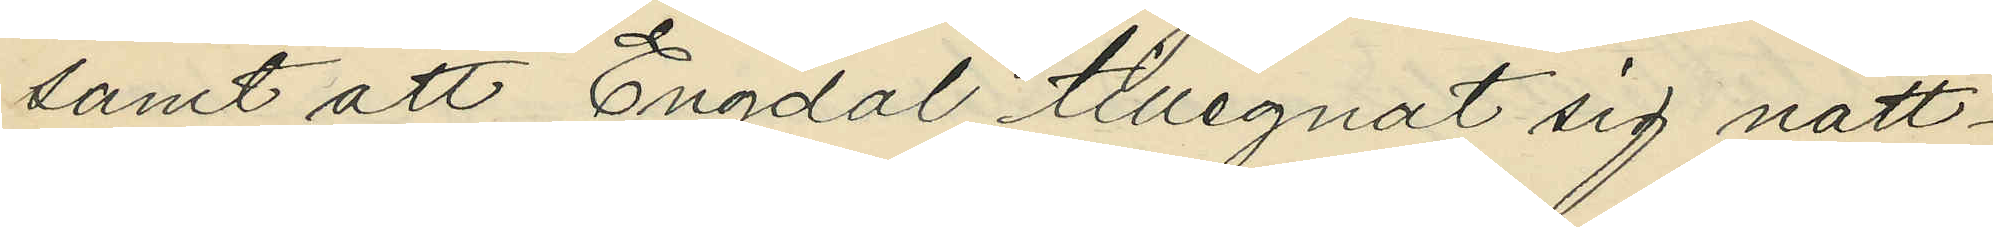samt att Engdal tillegnat sig natt¬
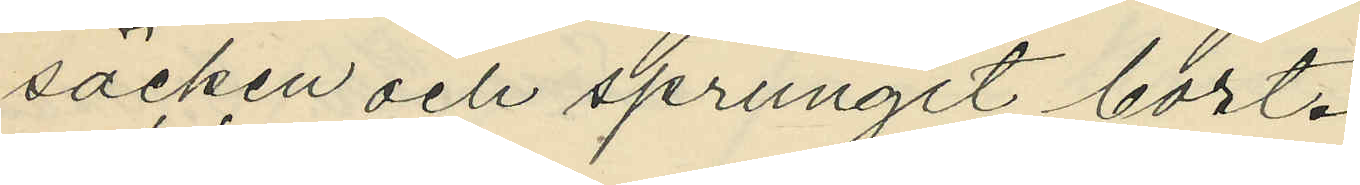säcken och sprungit bort.
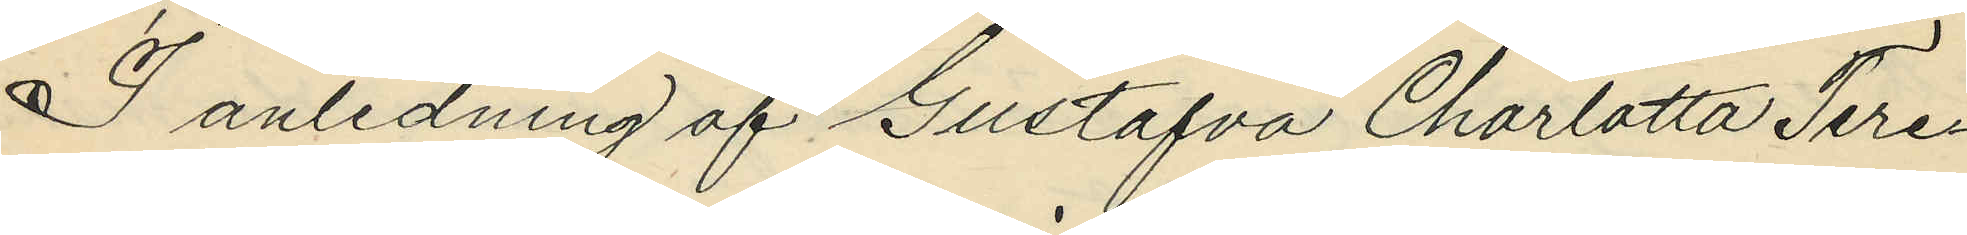I anledning af Gustafva Charlotta Tere¬
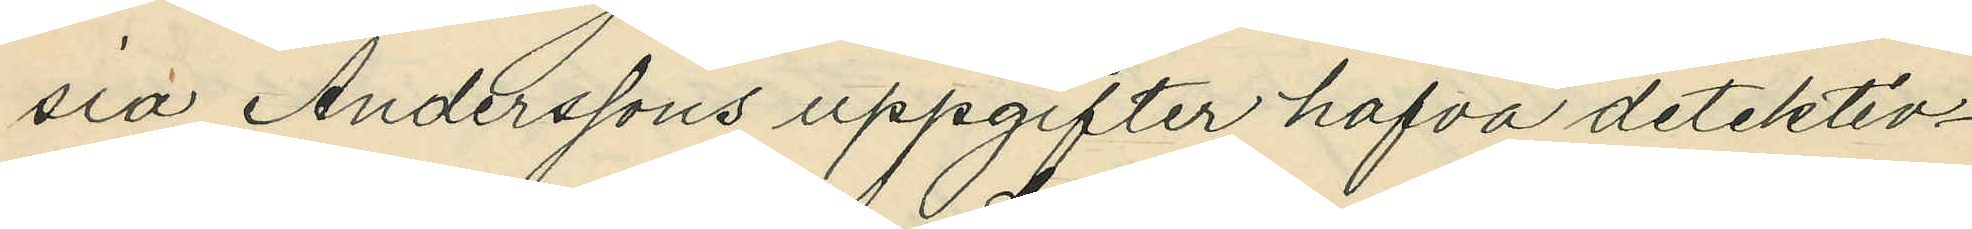sia Anderssons uppgifter hafva detektiv¬
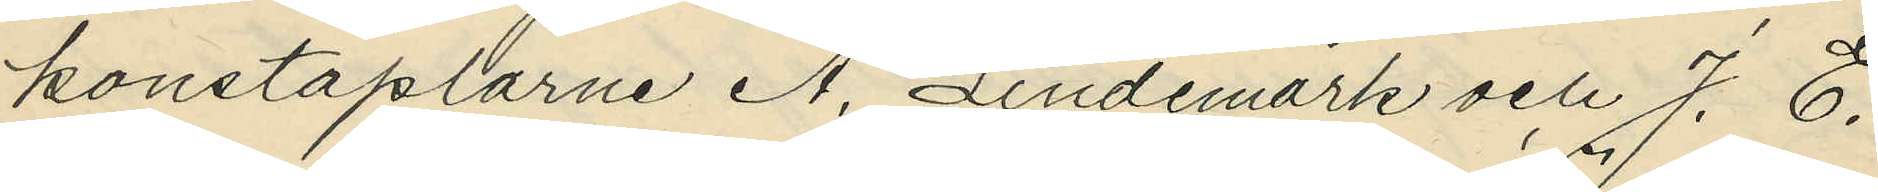konstaplarne A. Lindemark och J. E.
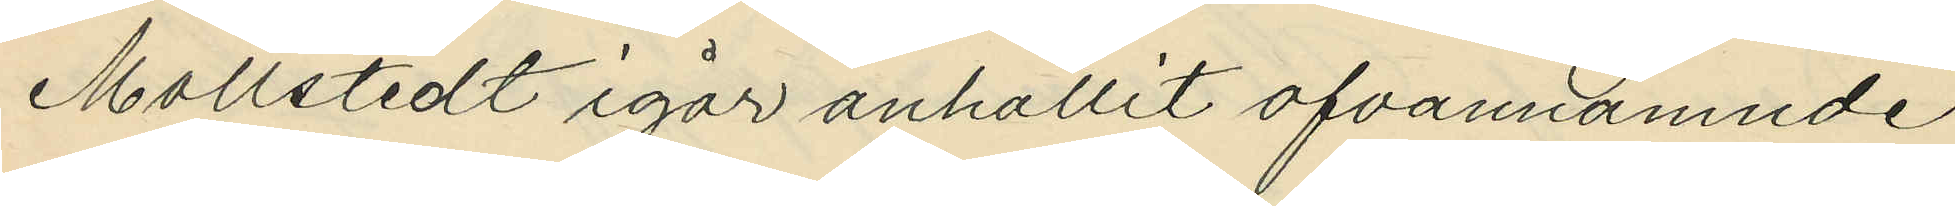Mollstedt igår anhållit ofvannämnde
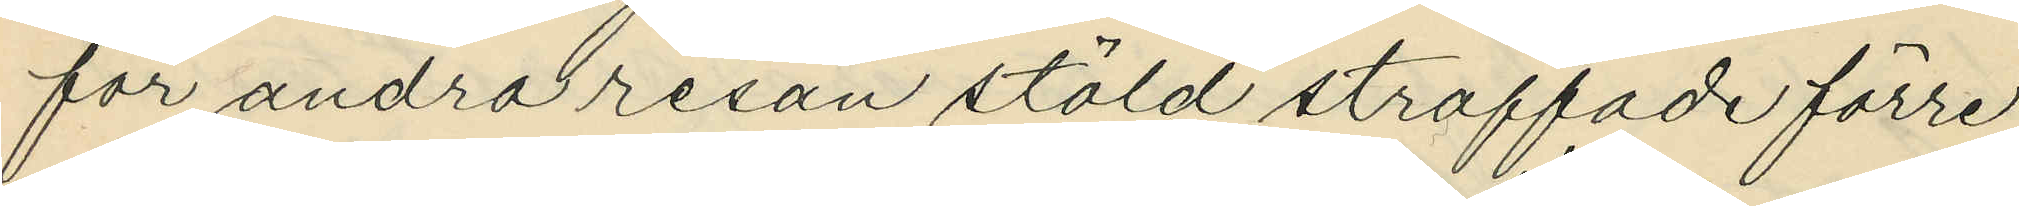för andra resan stöld straffade förre
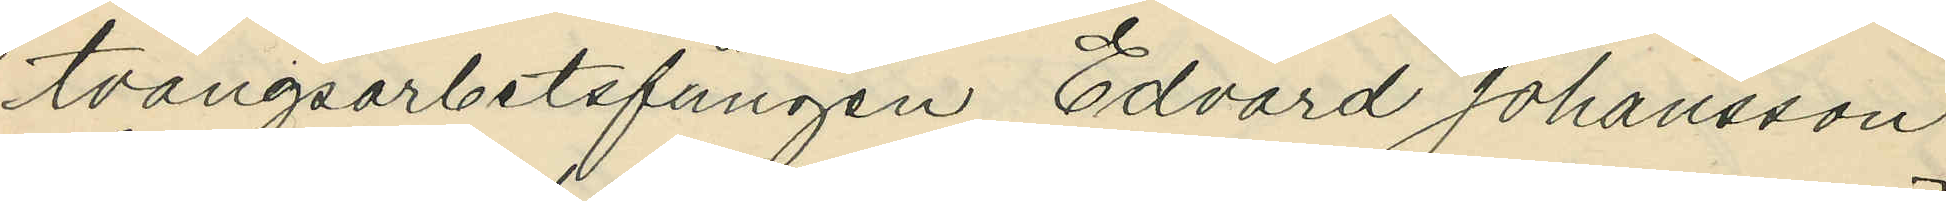tvångsarbetsfången Edvard Johansson
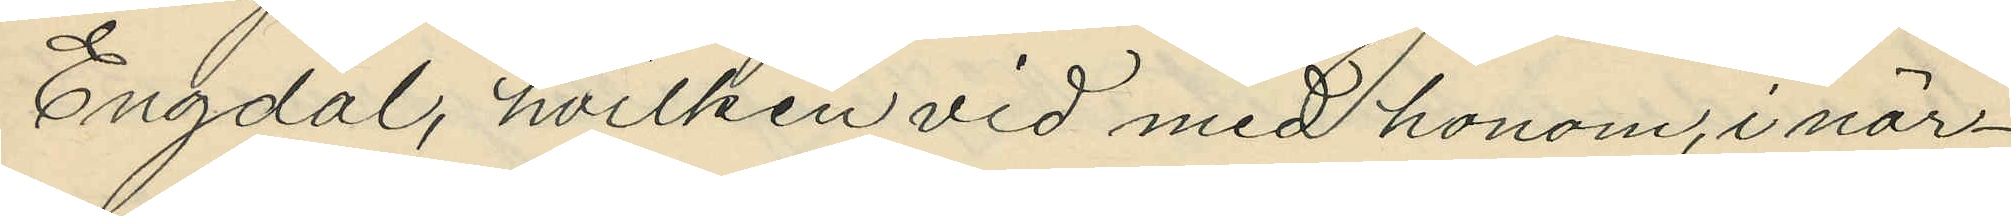Engdal, hvilken vid med honom, i när¬
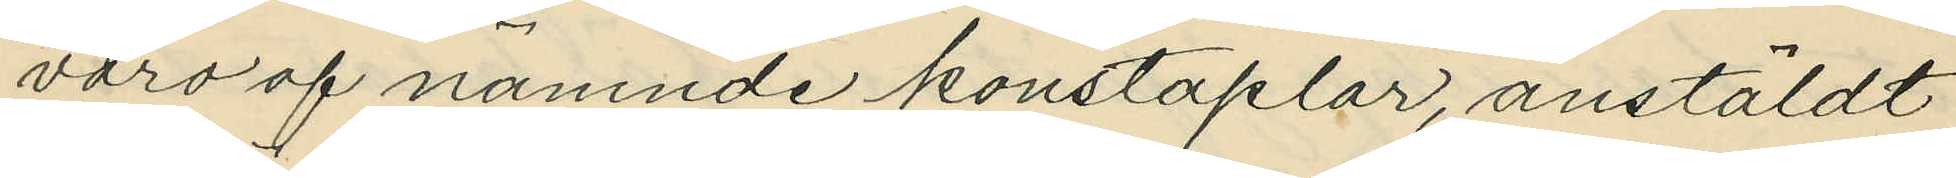varo af nämnde konstaplar, anstäldt
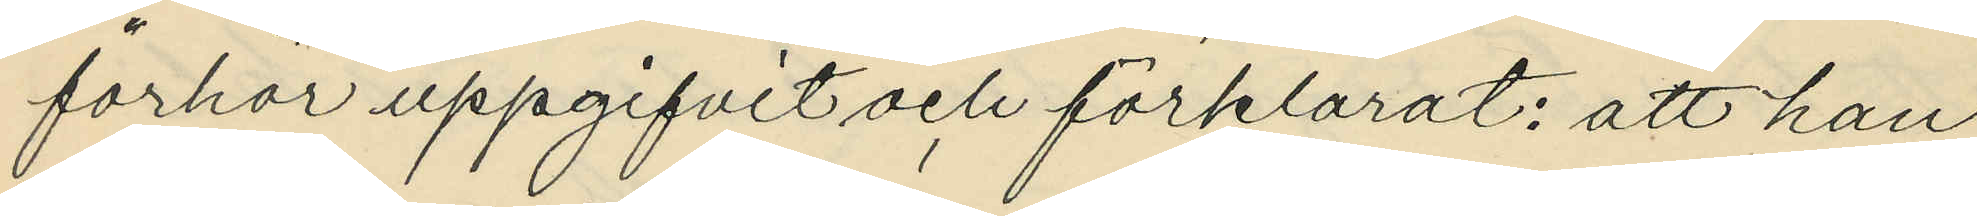förhör uppgifvit och förklarat: att han
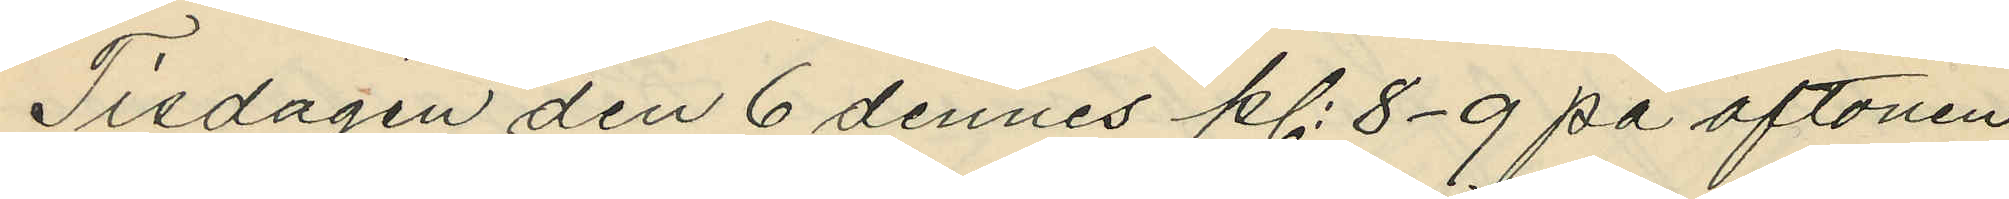Tisdagen den 6 dennes kl. 8-9 på aftonen
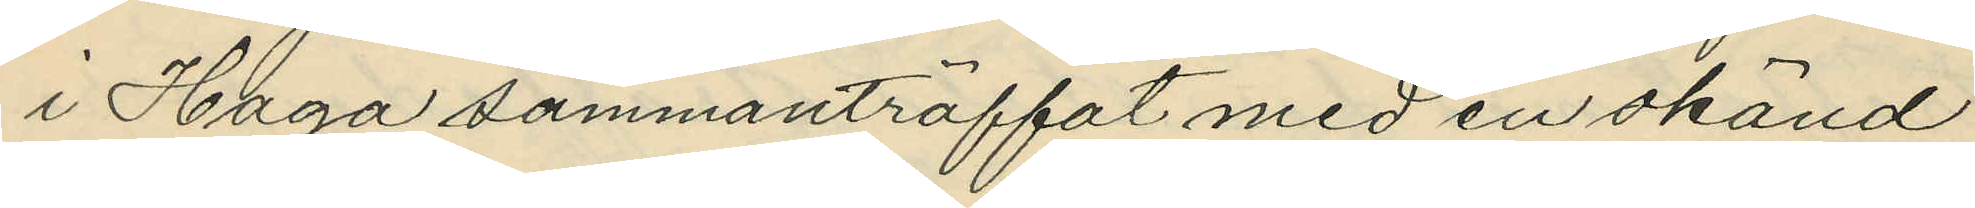i Haga sammanträffat med en okänd
